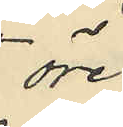öre
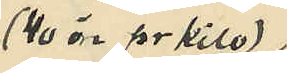(40 öre pr kilo)
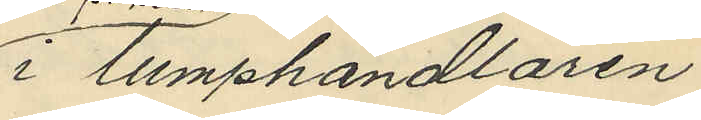i lumphandlaren
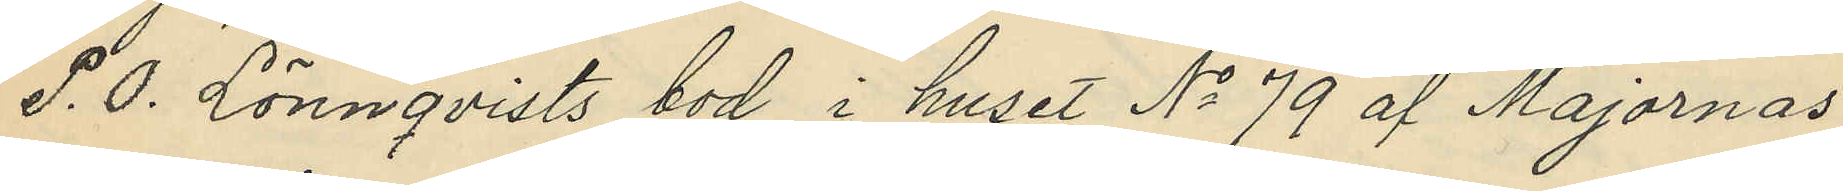P. O. Lönnqvists bod i huset No 79 af Majornas
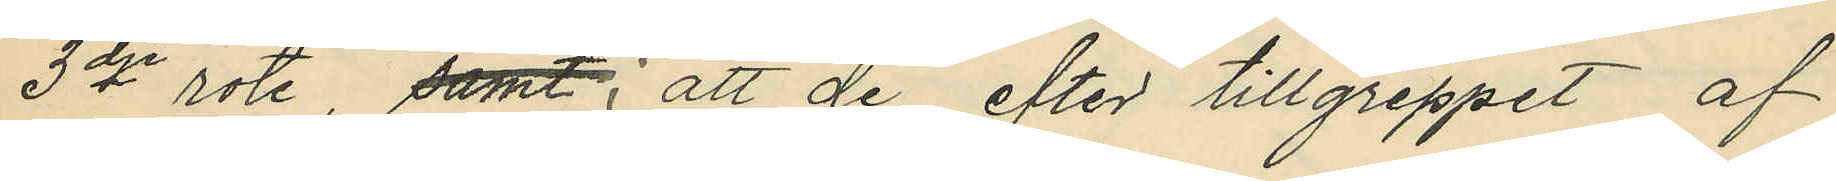3dje rote samt; att de efter tillgreppet af
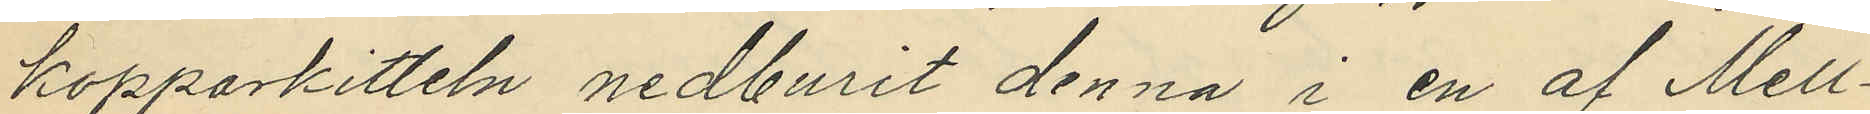kopparkitteln nedburit denna i en af Mell¬
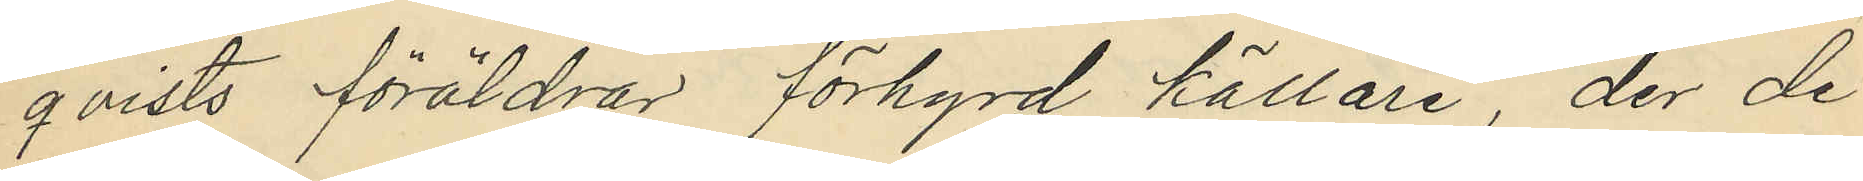qvists föräldrar förhyrd källare, der de
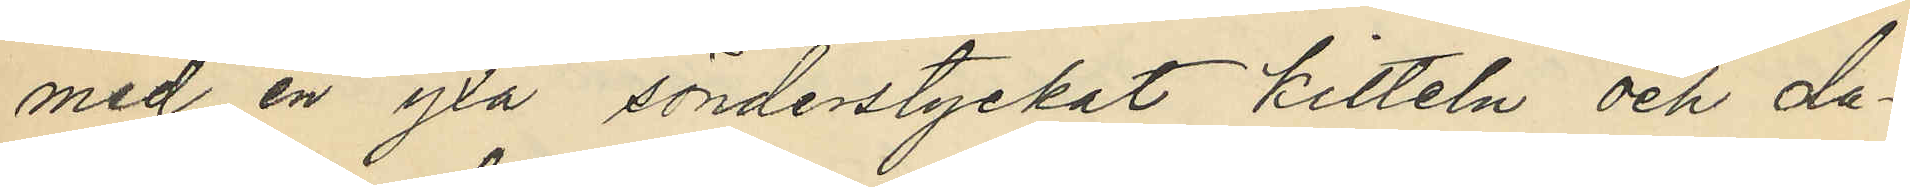med en yxa sönderstyckat kitteln och da¬
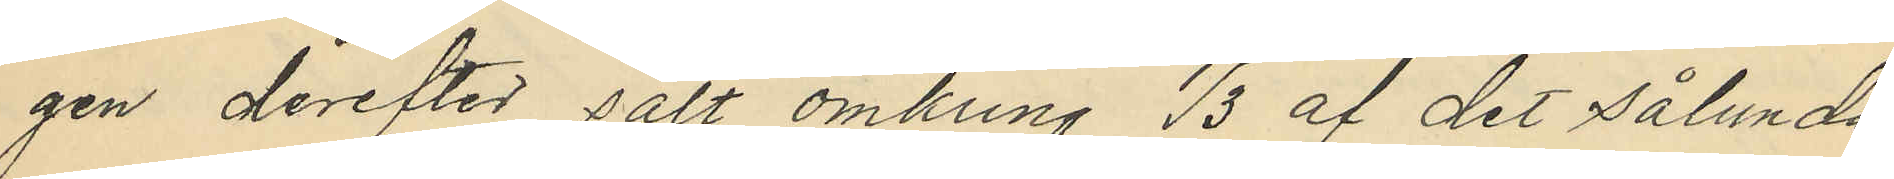gen derefter sålt omkring 1/3 af det sålunda
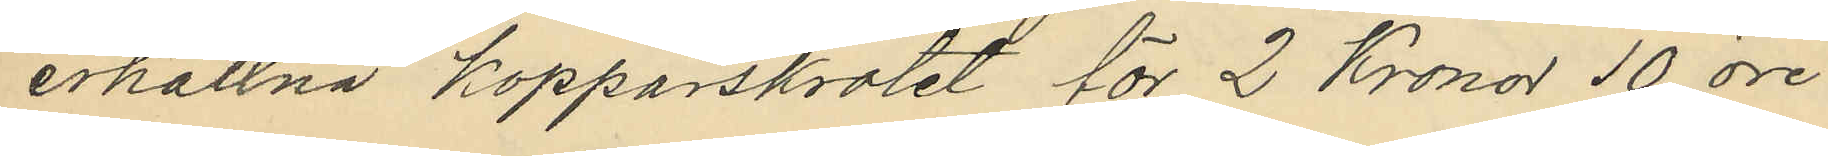erhållna kopparskrotet för 2 Kronor 10 öre
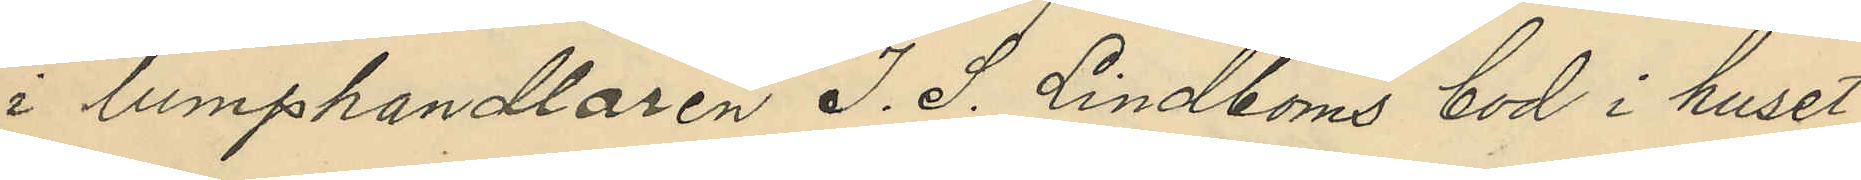i lumphandlaren J. S. Lindboms bod i huset
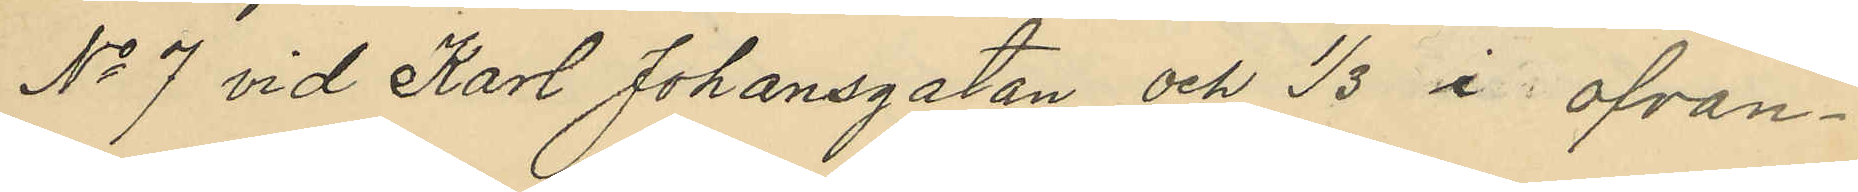No 7 vid Karl Johansgatan och 1/3 i ofvan¬
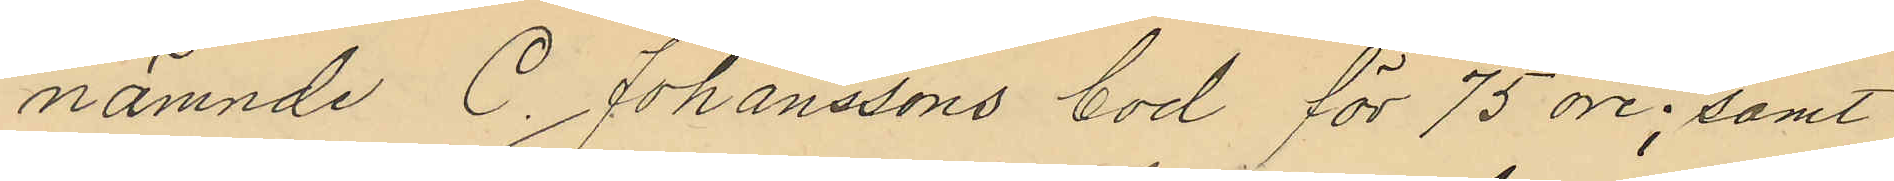nämnde C. Johanssons bod för 75 öre; samt
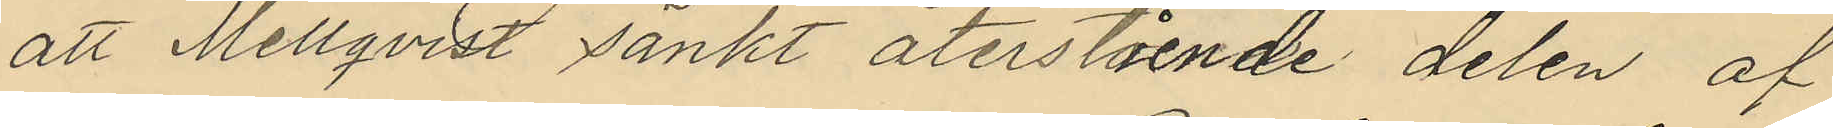att Mellqvist sänkt återstående delen af
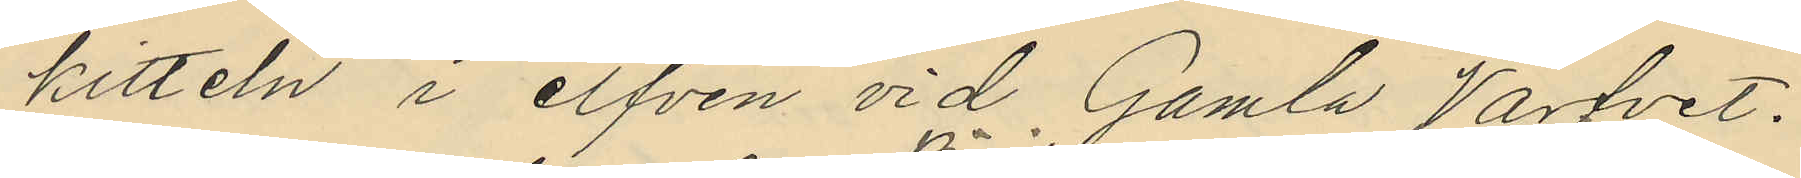kitteln i elfven vid Gamla Varfvet.
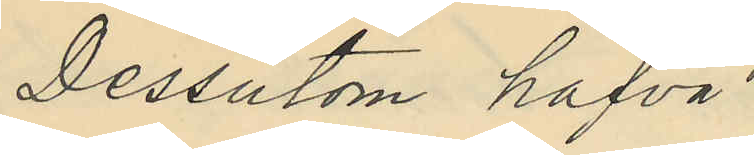Dessutom hafva
